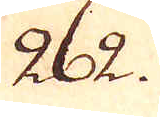262.
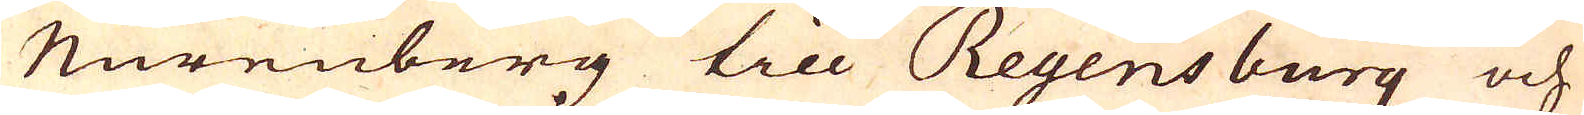Nureuberg till Regensburg och
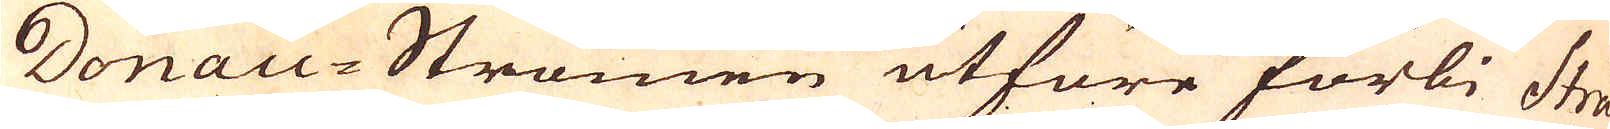Donau-Strömen utföre förbi Strå-
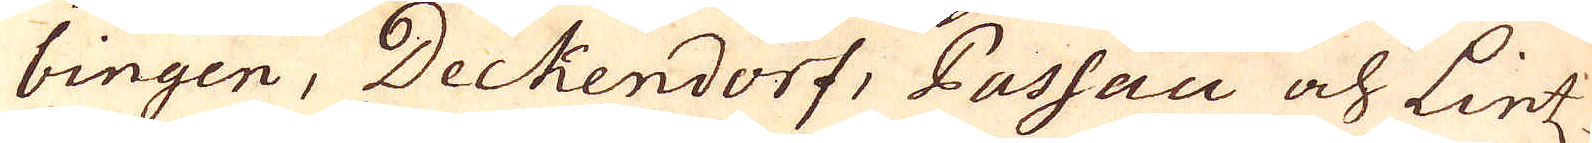bingen, Deckendorf, Passau och Lintz
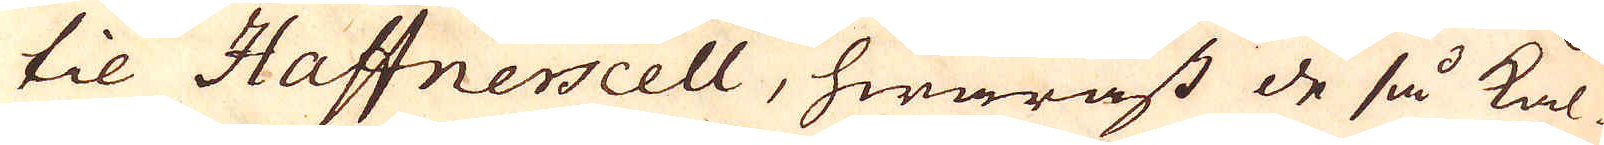til Haffnerscell, hwaräst de så kal-
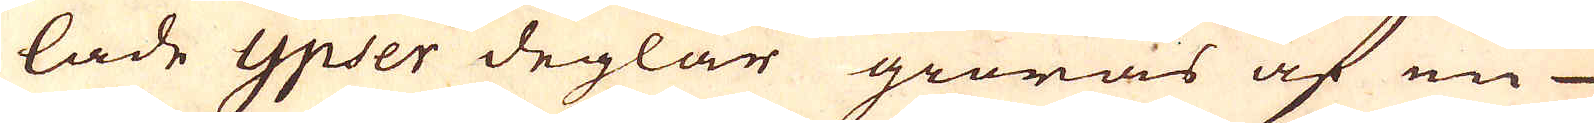lade ypser deglar giöras af en
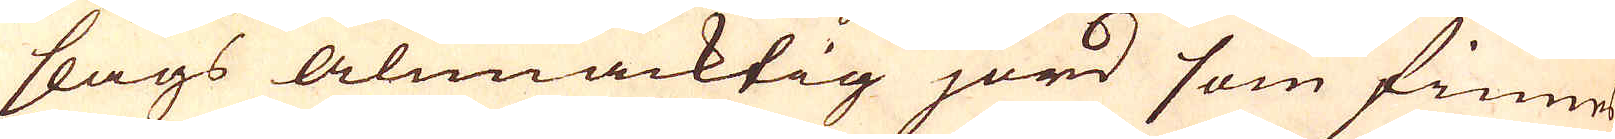slags alunacktig jord som finnes
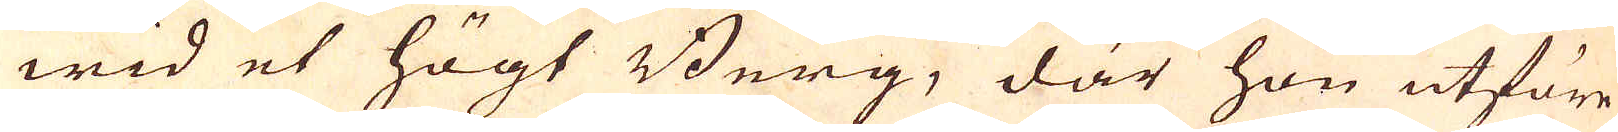wid et högt Berg, där hon utföre
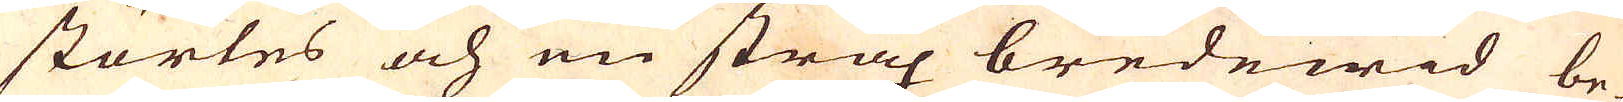störtes och en strax bredewid be-
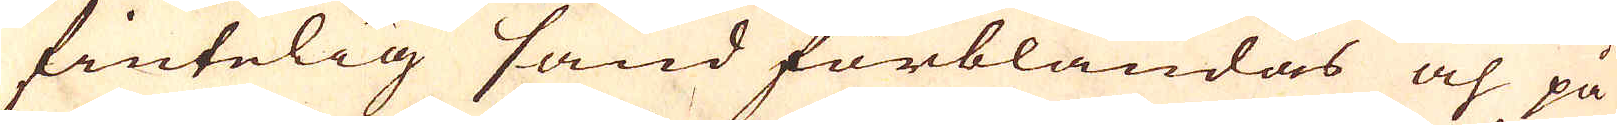fintelig sand förblandas och på
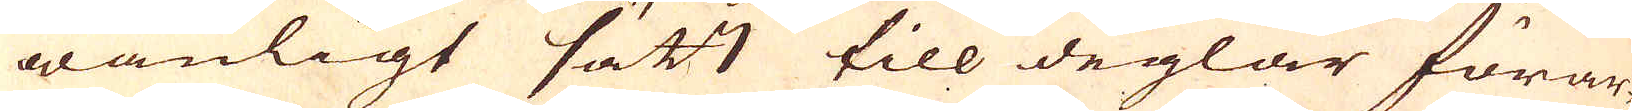wanligt sätt till deglar förar-
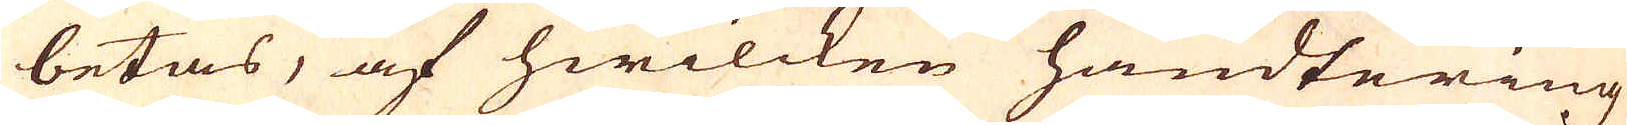betas, af hwilcken handtering
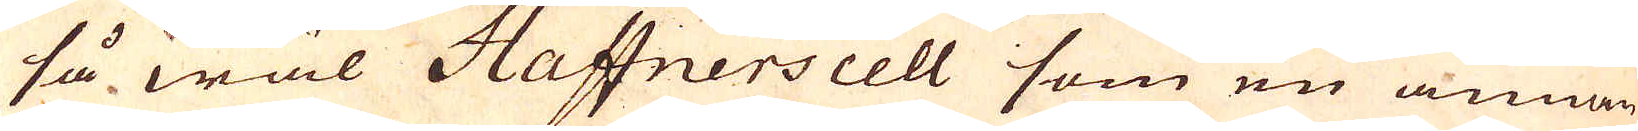så wäl Haffnerscell som en annan
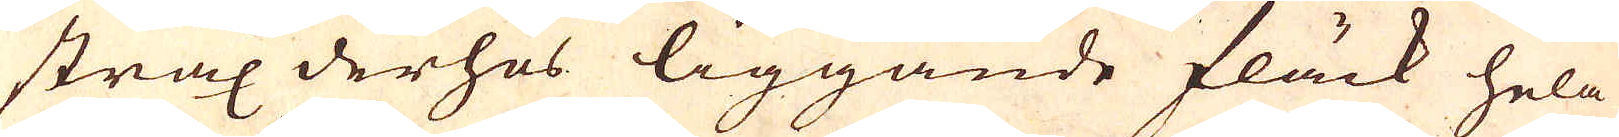strax derhos liggande fläck hela
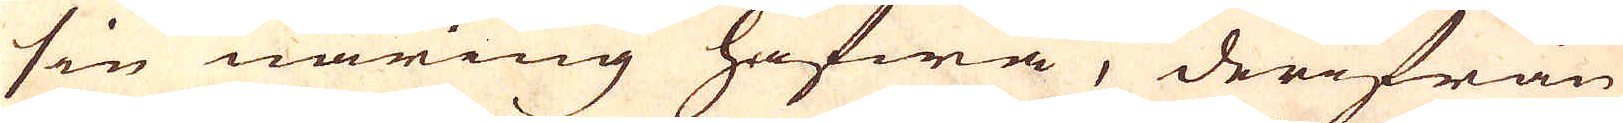sin näring hafwa, derifrån
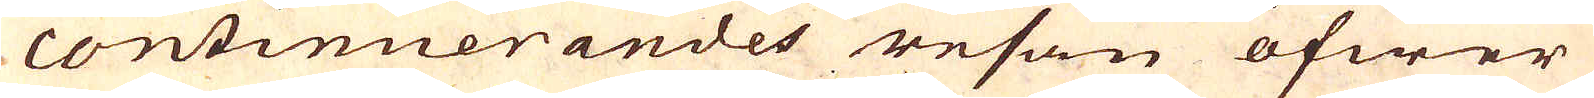continuerandes resan öfwer
